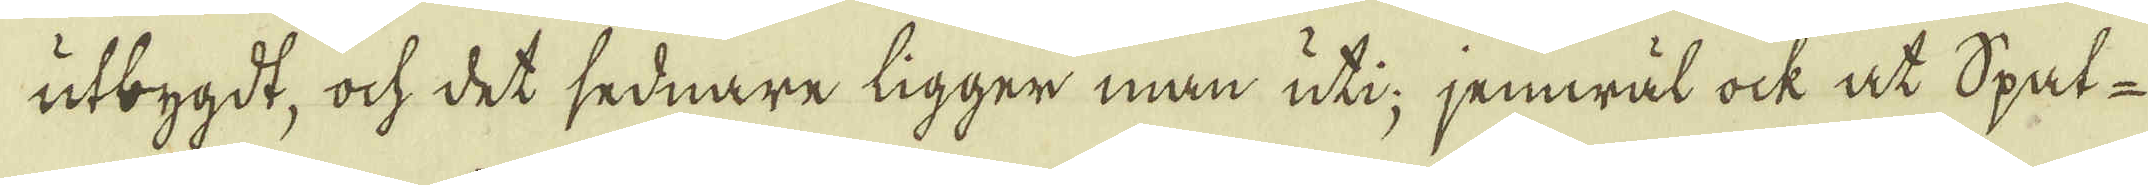utbygdt, ock det sednare ligger man uti jemwäl ock at Spat-
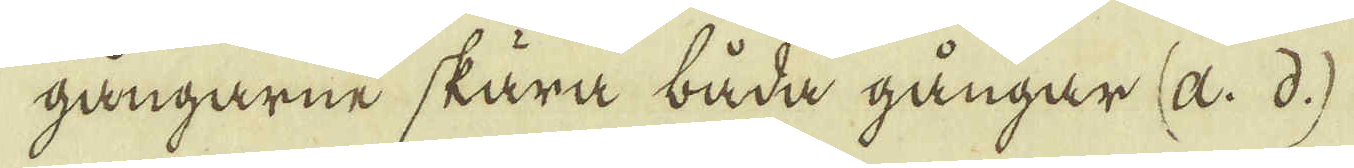gångarne skära båda gångar (a. d.)
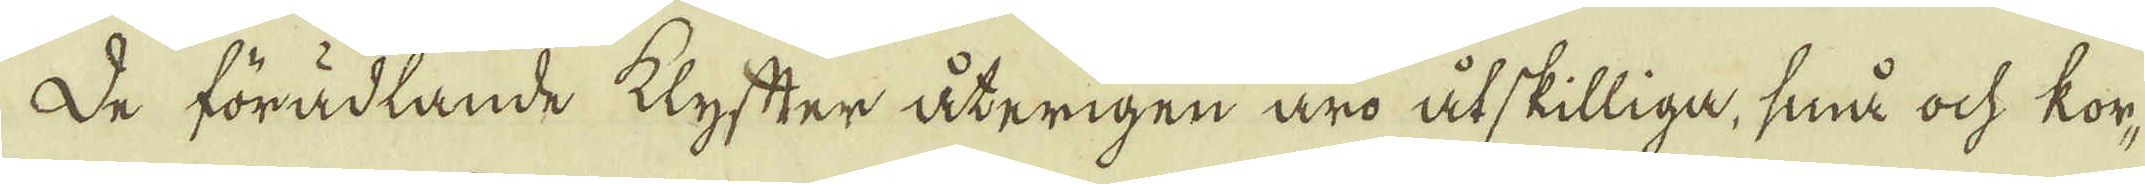De förädlande klyfter återigen äro åtskilliga, små ock kor-
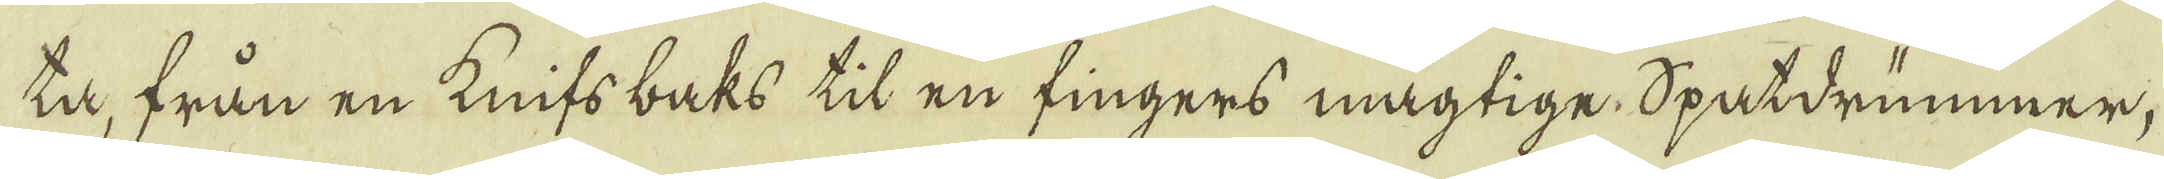ta, från en Knifsbaks til en fingers mägtige Spatdrümmer,
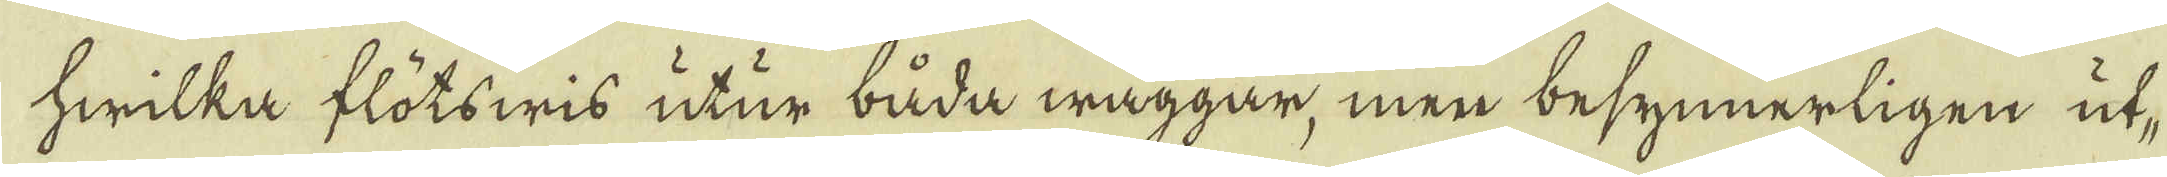hwilka flötswis utur båda wäggar, men besynnerligen ut-
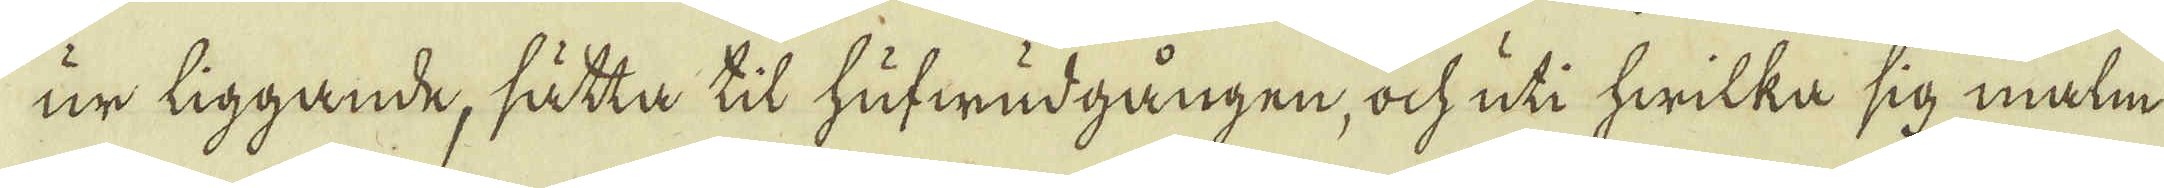ur liggande, sätta til hufwudgången, ock uti hwilka sig malm
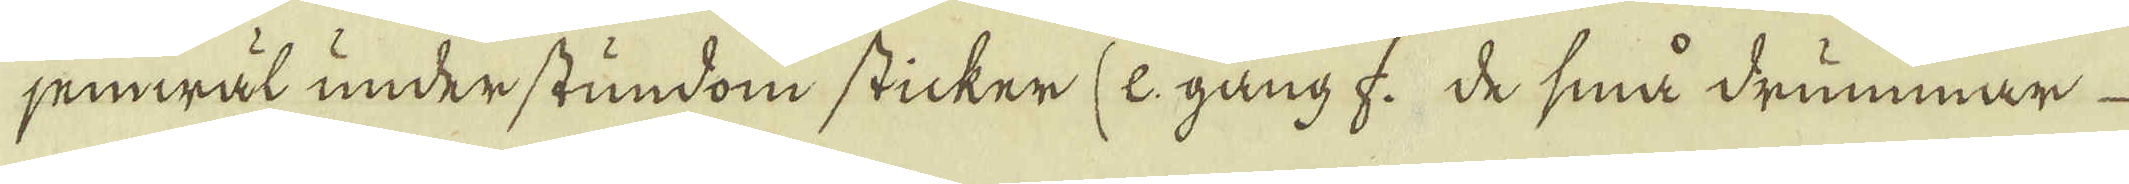jemwäl under stundom sticker (e. gång f. de små drummar
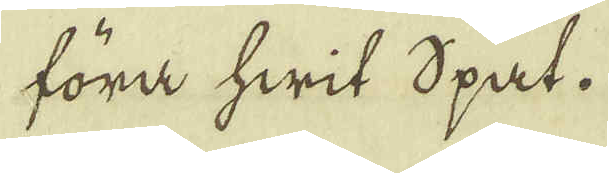föra hwit Spat.
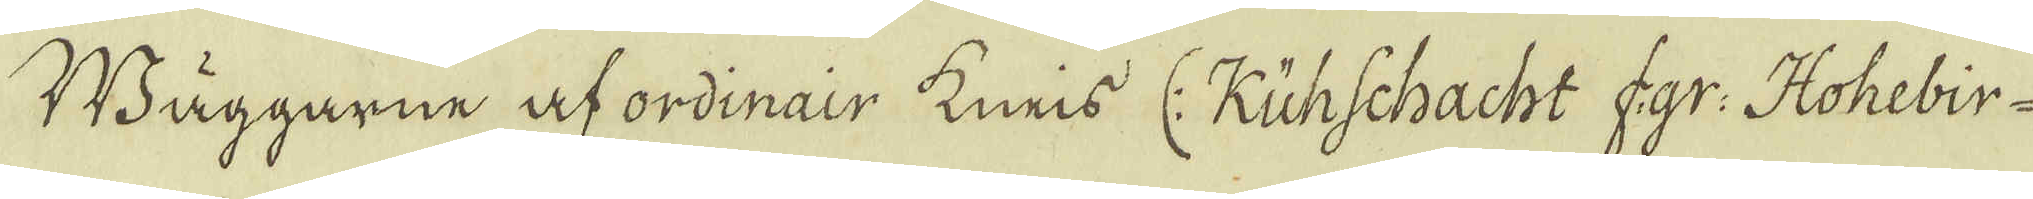Wäggarne af ordinair Kneis (: Kühschacht f.gr: Hohebir-
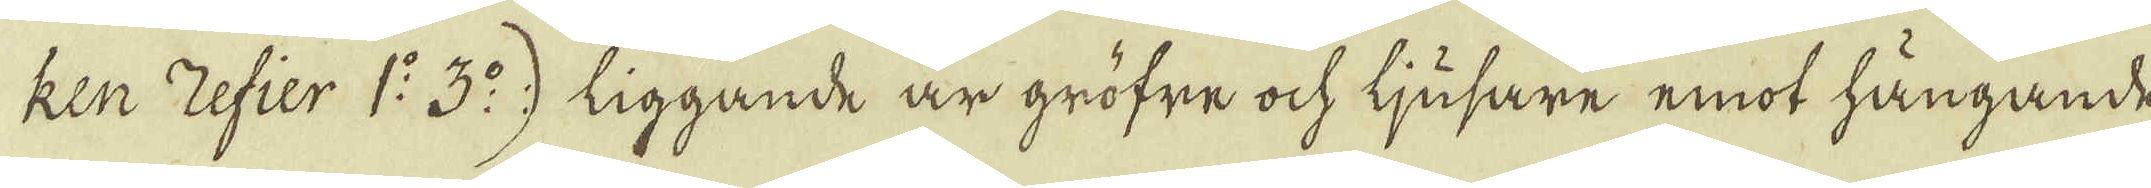ken Zefier 1:o 3:o) liggande är gröfre ock ljusare emot hängande,
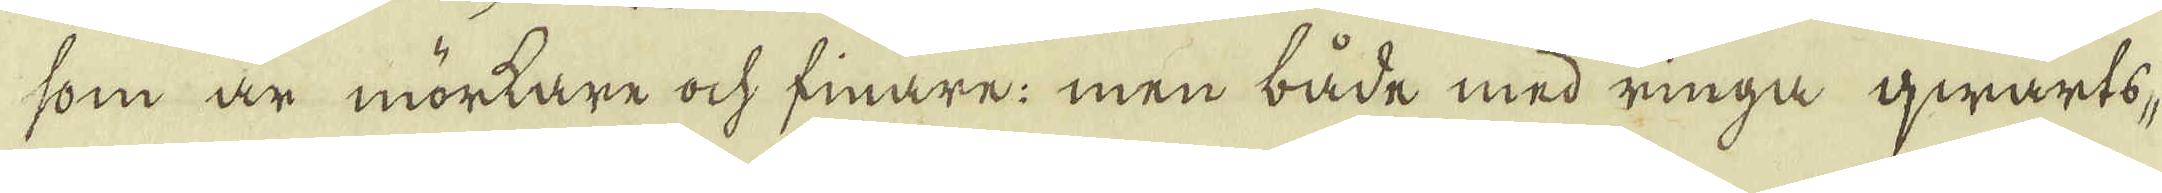som är mortare ock finare; men både med ringa qwarts,
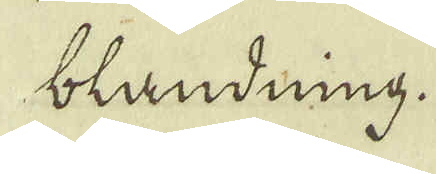blandning.
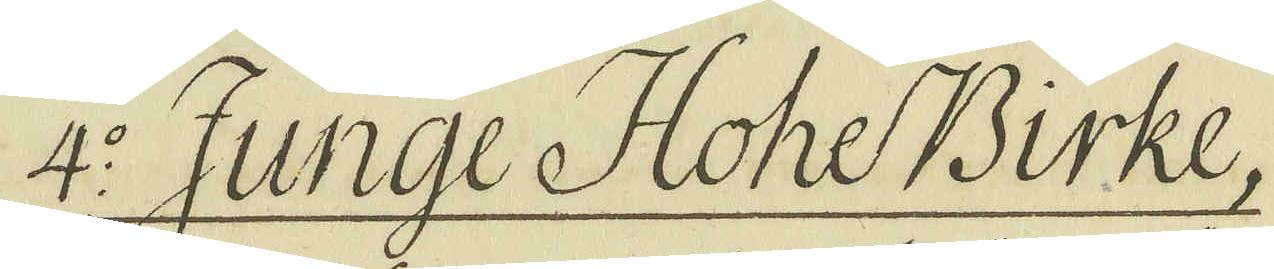4:o Juge HoheBirke.
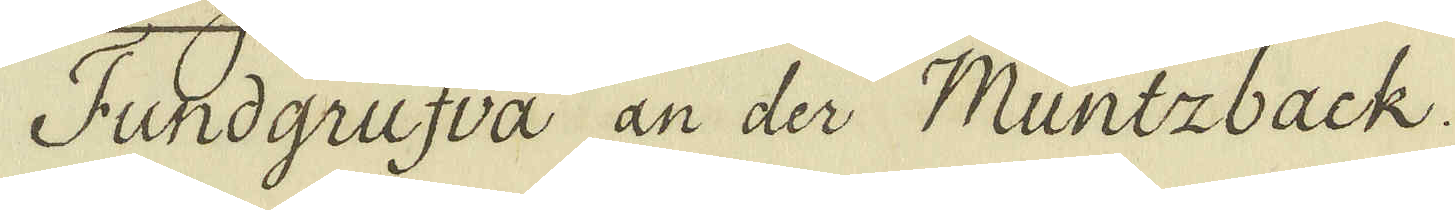Fundgrufva an der Müntzback.
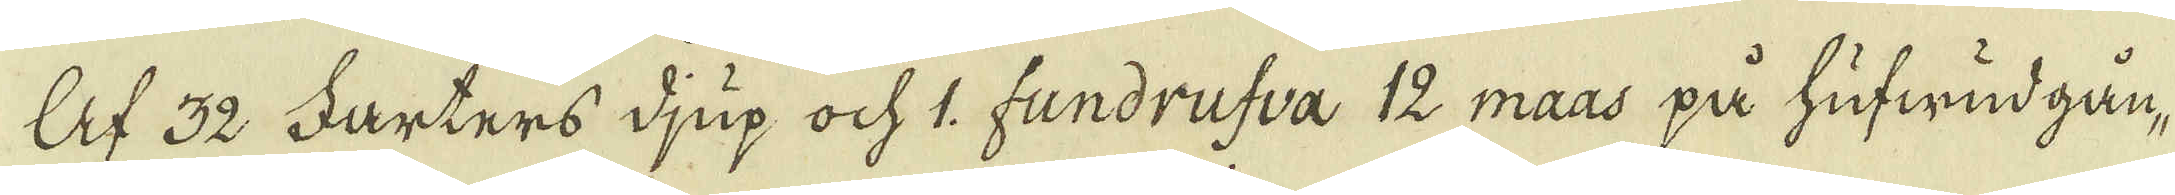Af 32 Farters djup och 1. fundrufva 12 maas på hufwud gån-
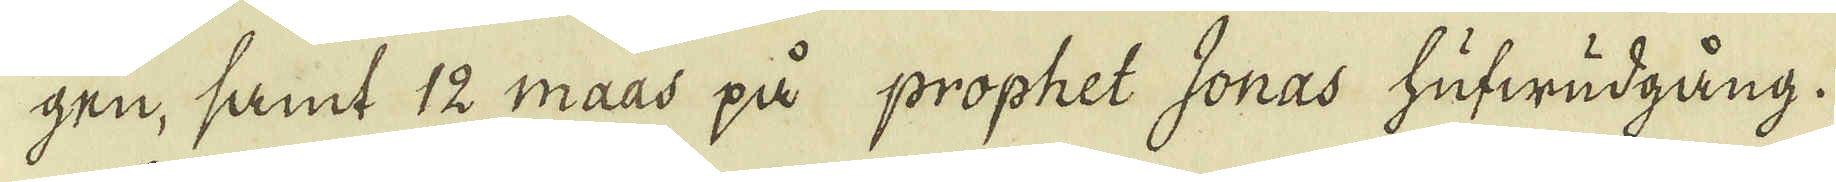gen, samt 12 Maas på prophet Jonas hufwudgång.
